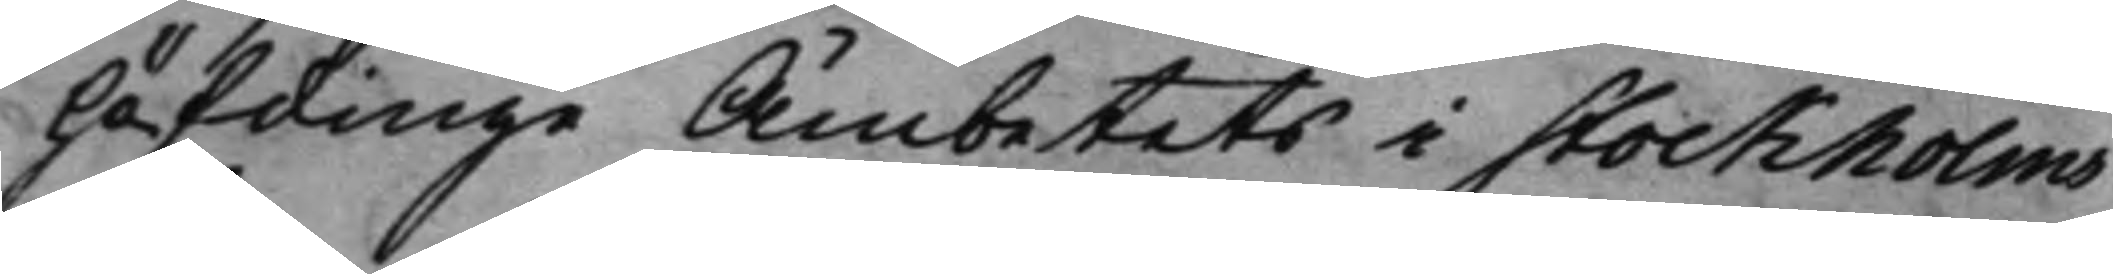höfdinge Ämbetets i Stockholms
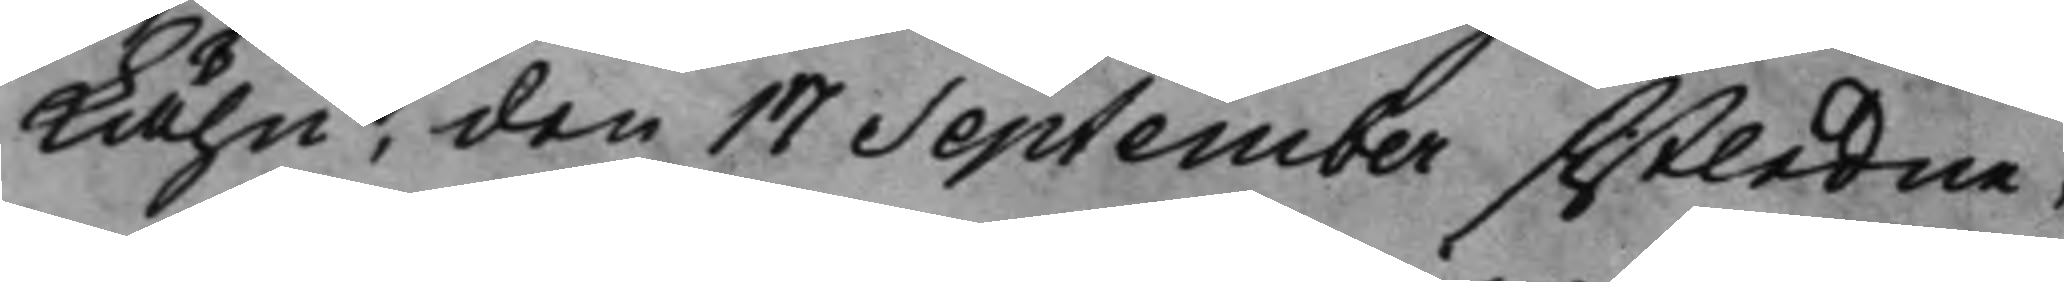Lähn, den 17 September sistledne,
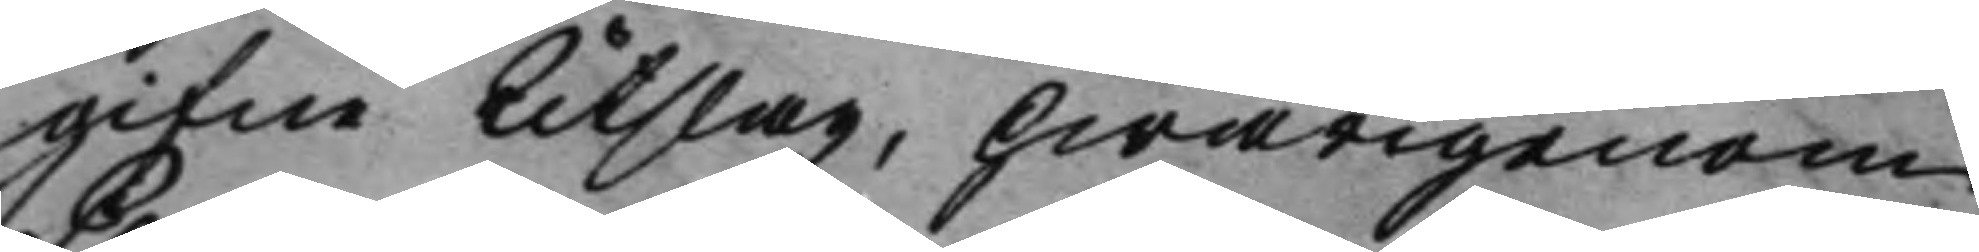gifne Utslag, hwarigenom
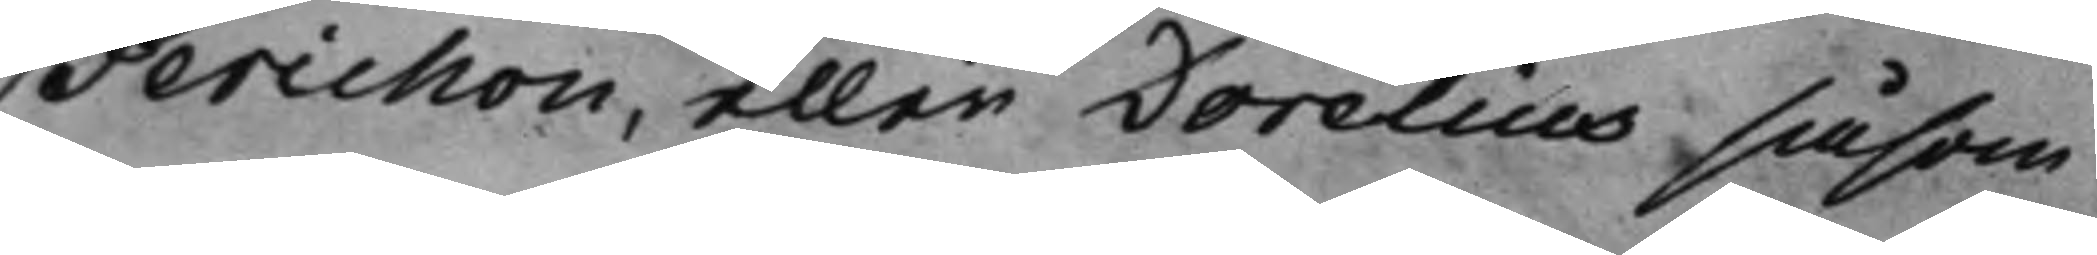Perichon, eller Dorelius såsom
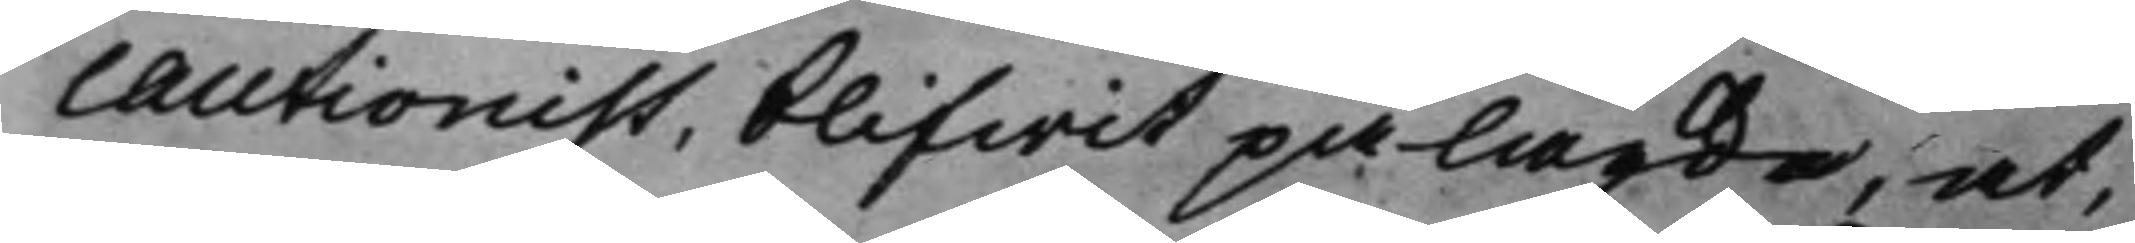Cautionist, blifwit pålagde, at,
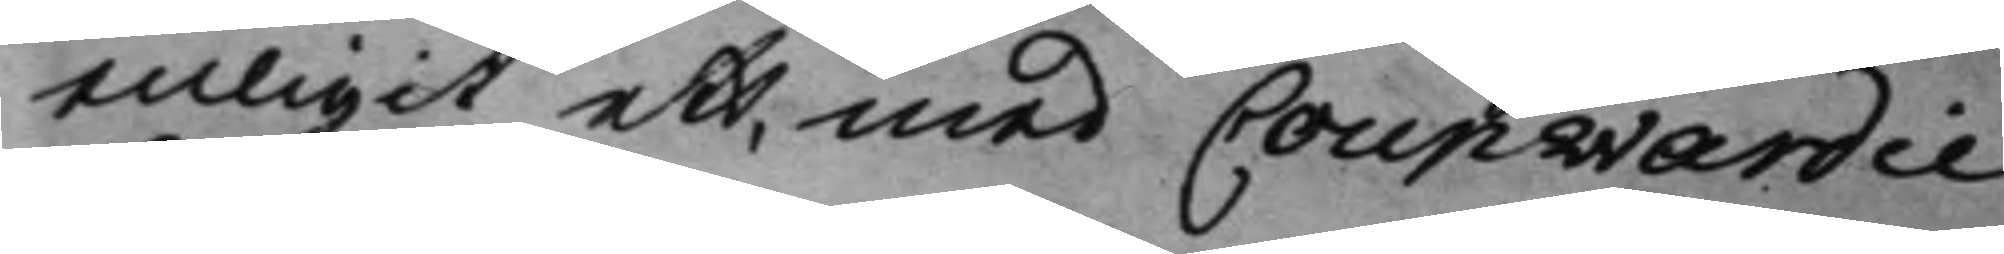enligit ett, med Coupwardie
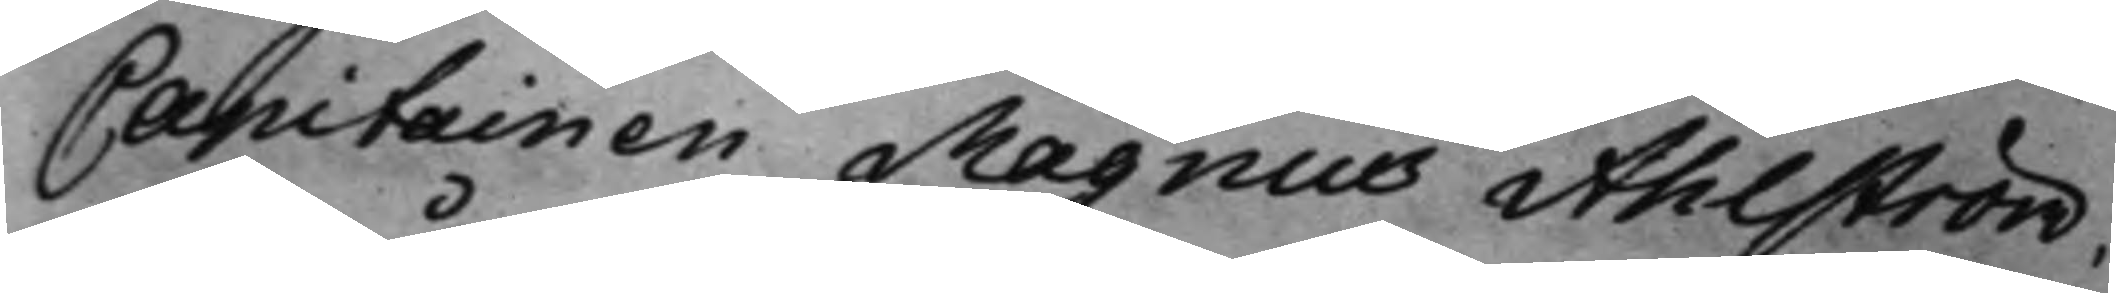Capitainen Magnus Ahlström,
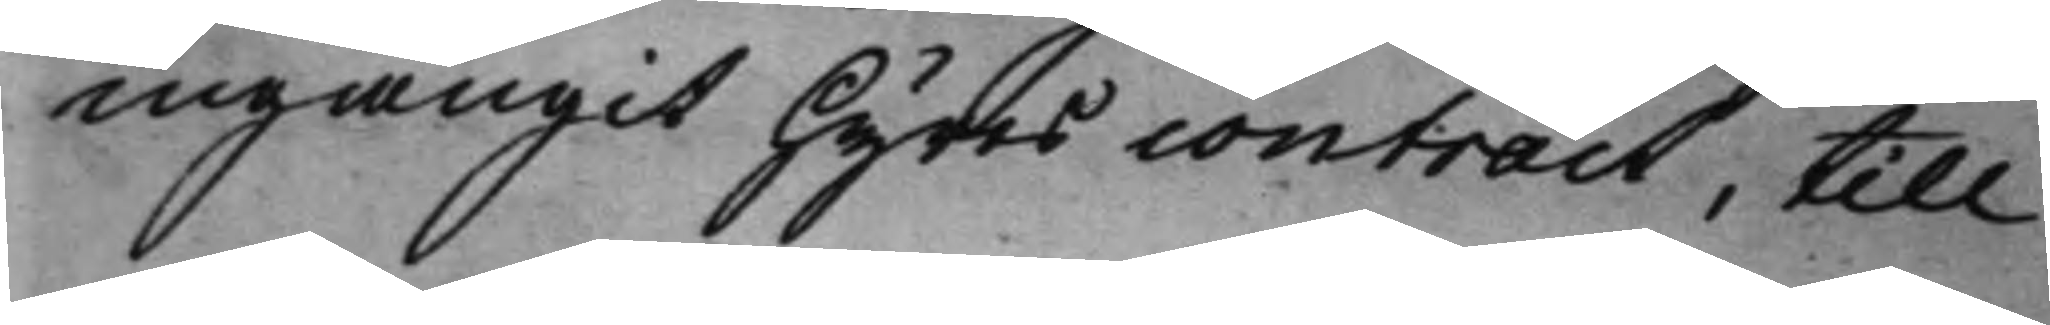ingångit Hyres contract, till
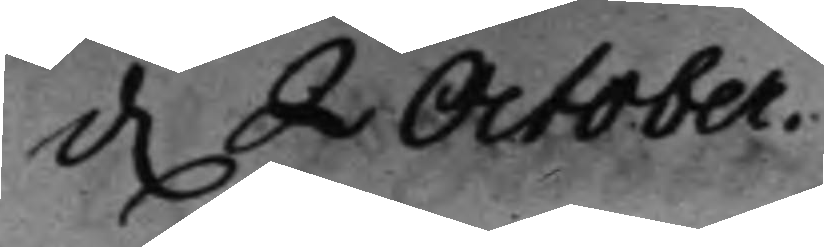d. 2 October. 
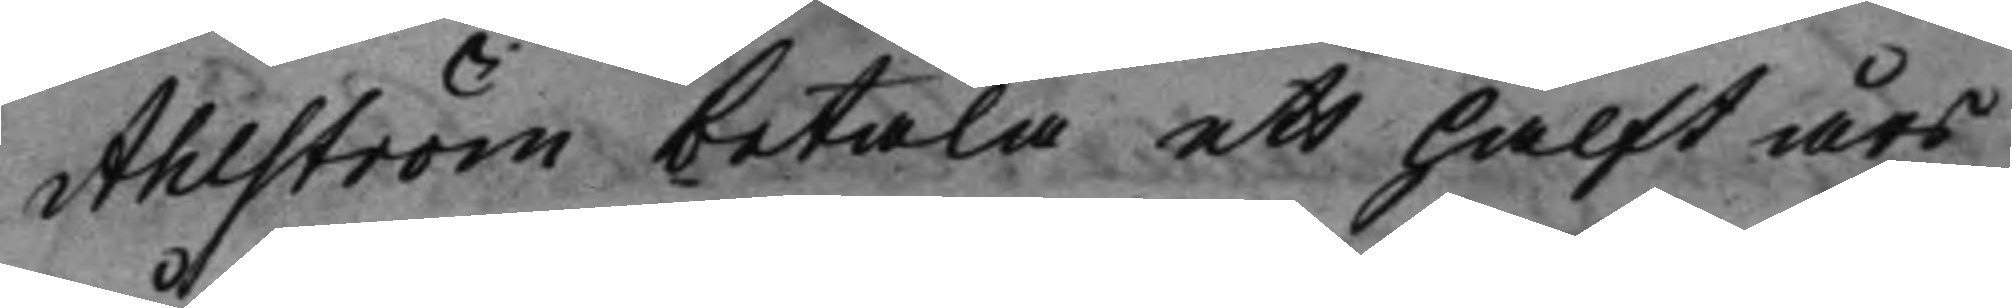Ahlström betala ett halft års
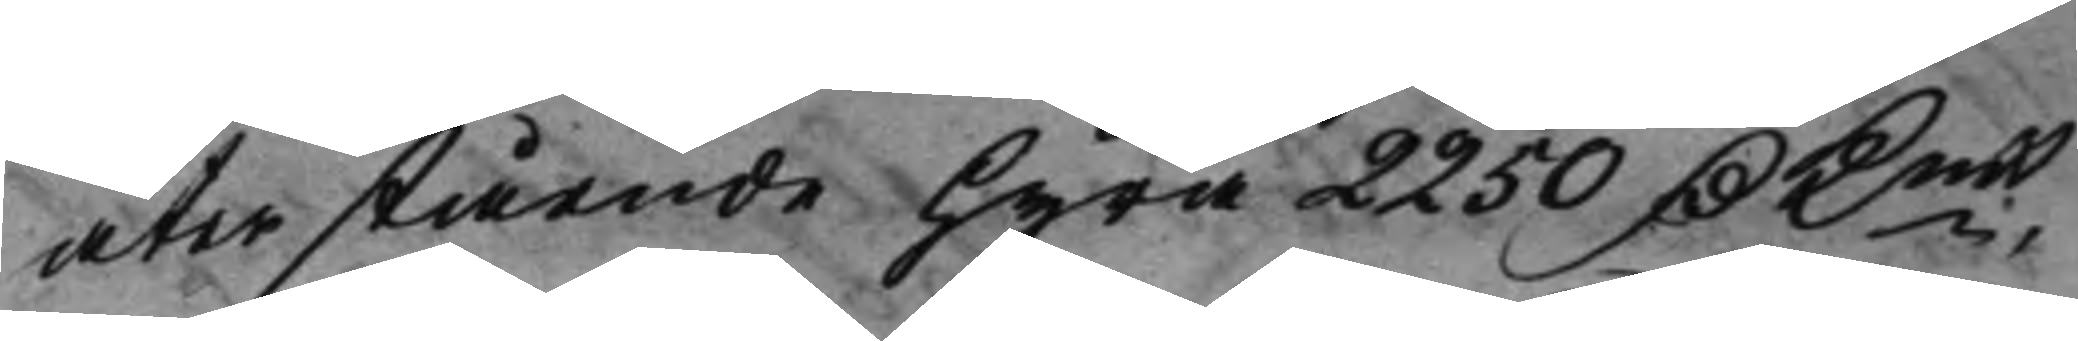återstående hyra 2250 D Kmt, 
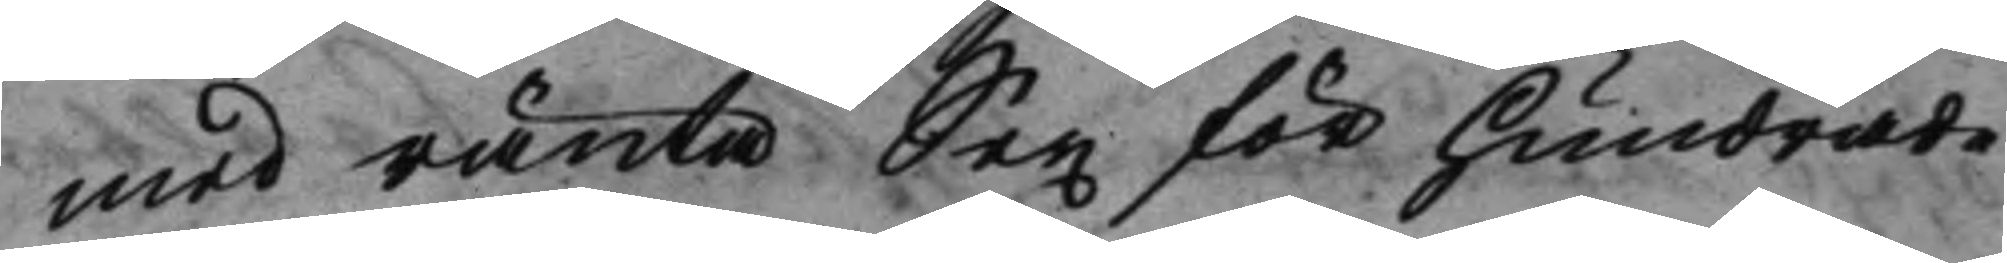med ränta Sex för Hundrade
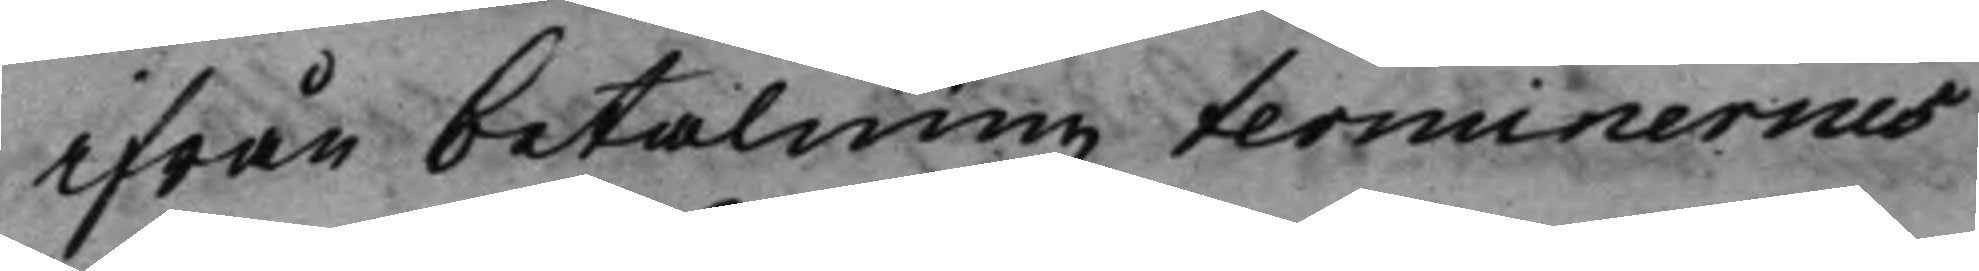ifrån betalningz terminernes
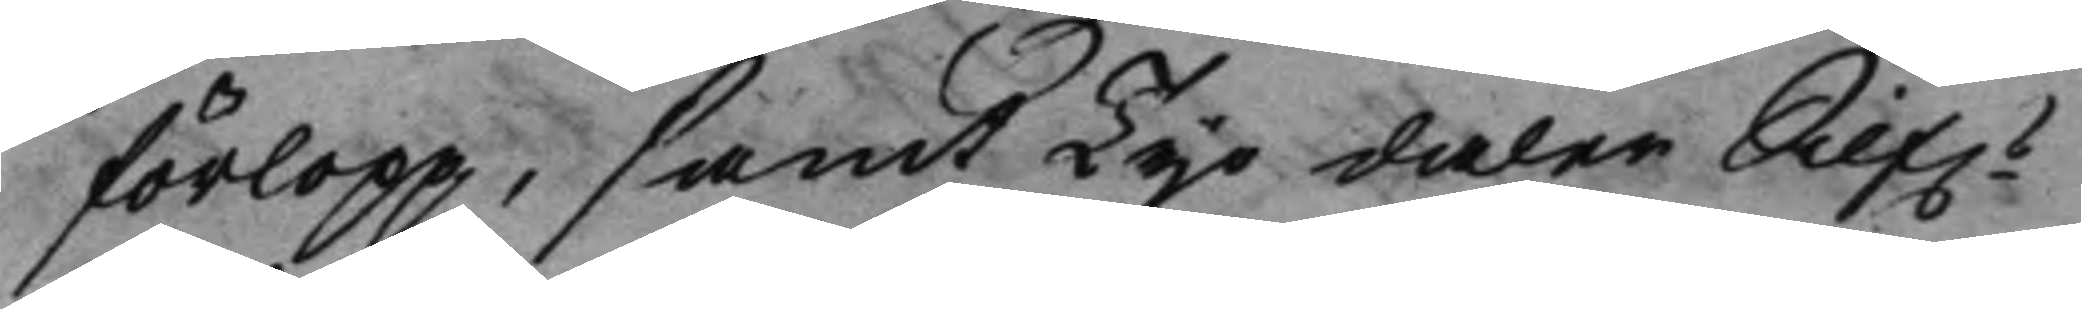förlopp, samt Tijo daler Silf.s 
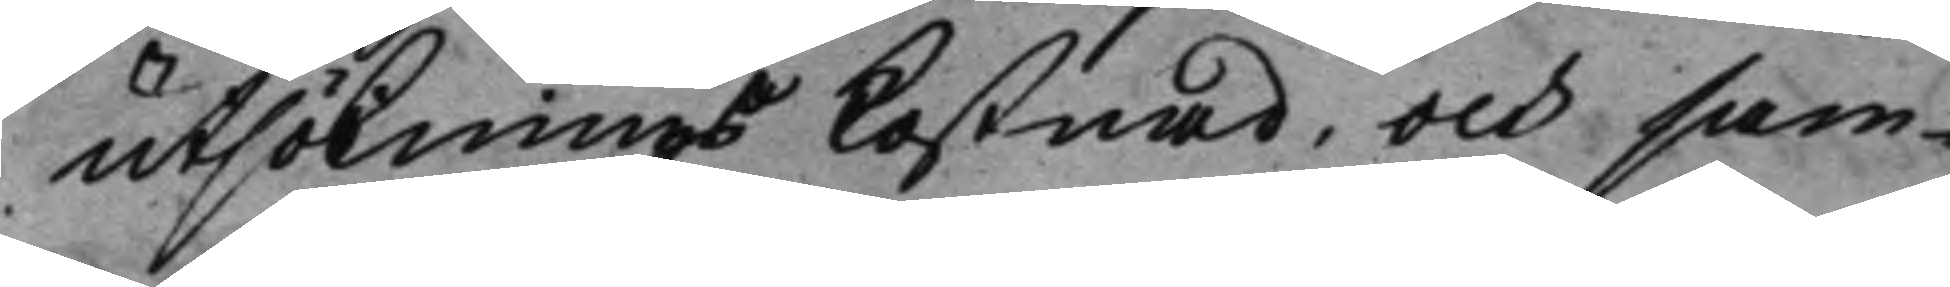utsöknings kostnad, och sam¬
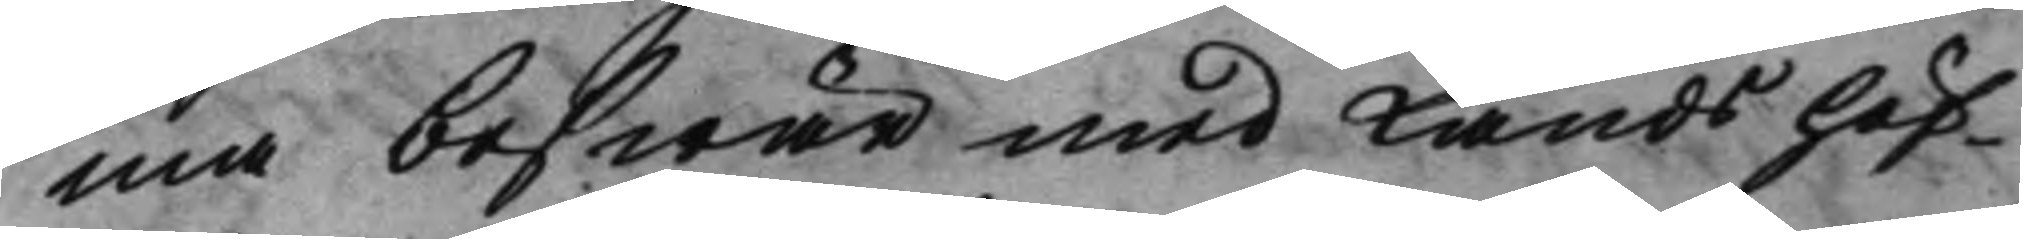ma beswär med Landshöf¬
